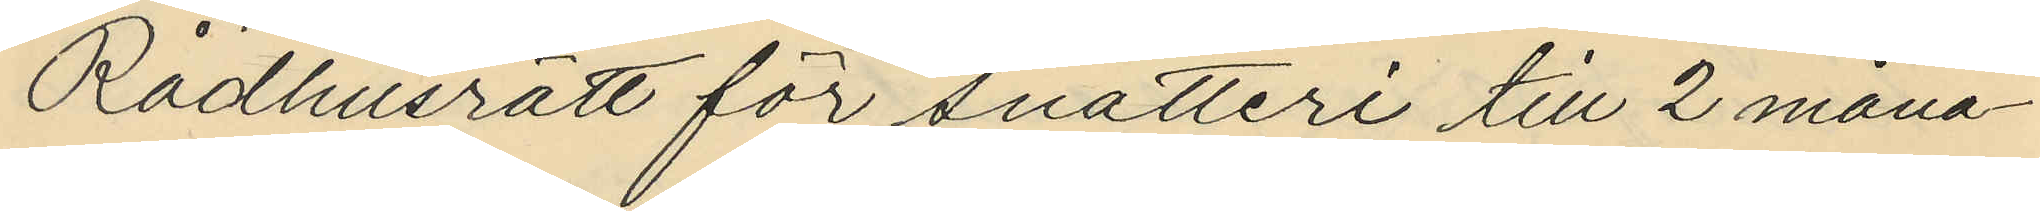Rådhusrätt för snatteri till 2 måna¬
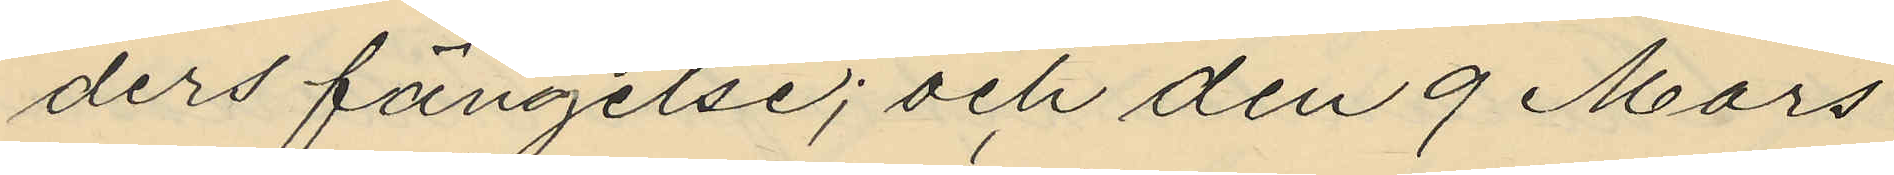ders fängelse; och den 9 Mars
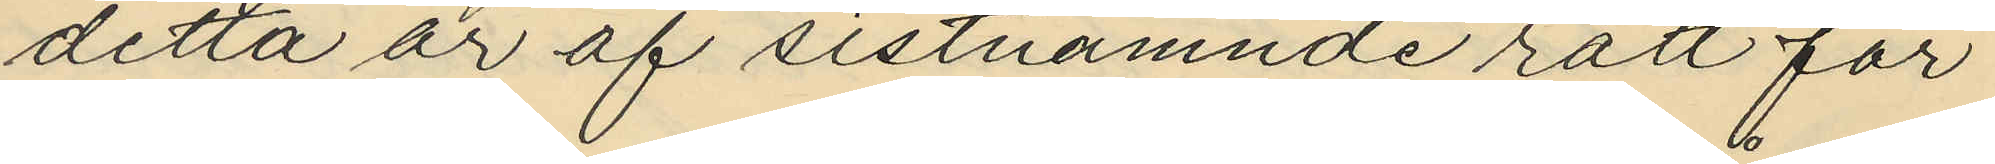detta år af sistnämnde rätt för
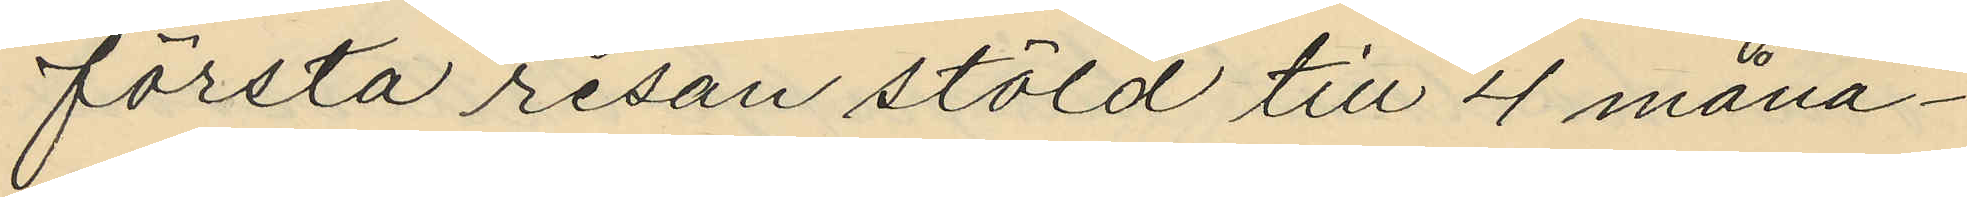första resan stöld till 4 måna¬
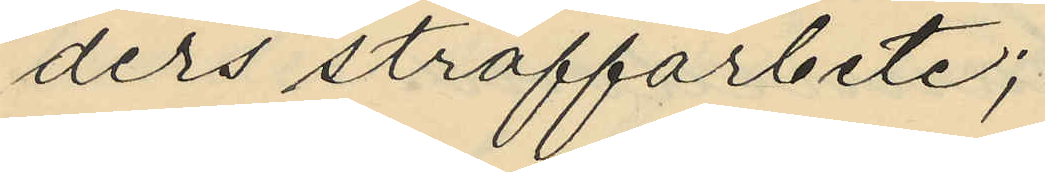ders straffarbete;
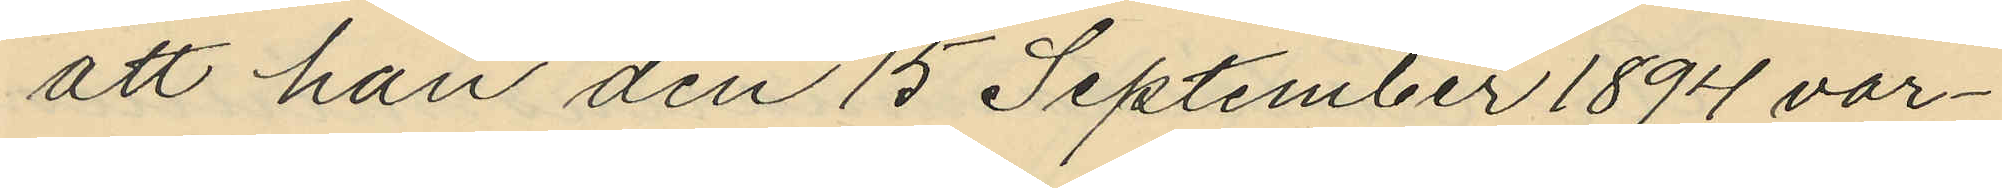att han den 15 September 1894 var¬
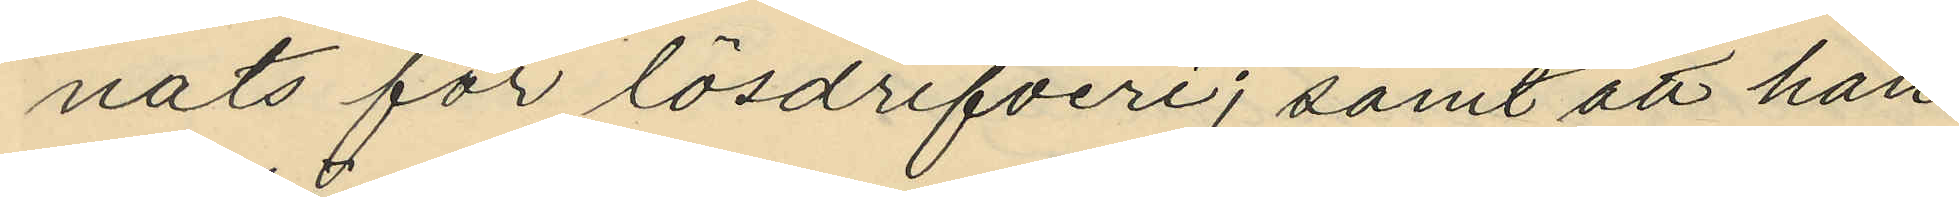nats för lösdrifveri; samt att han
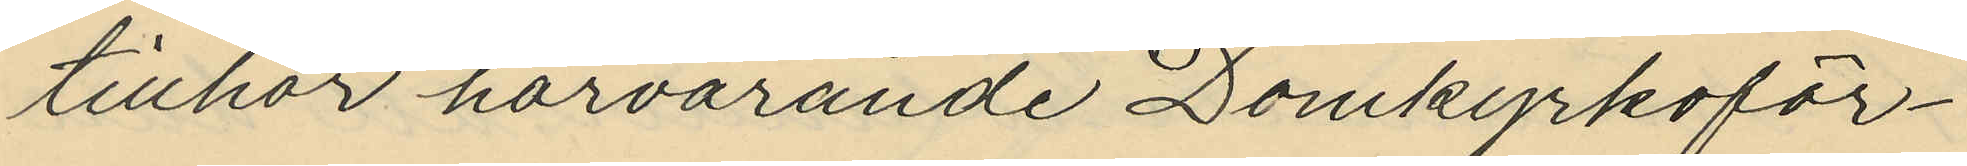tillhör härvarande Domkyrkoför¬
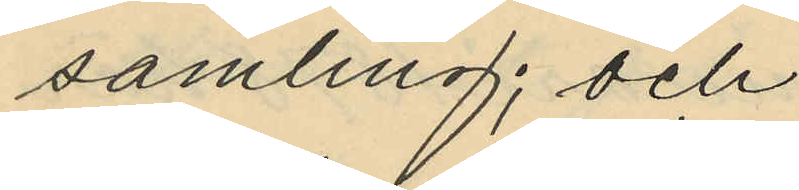samling; och
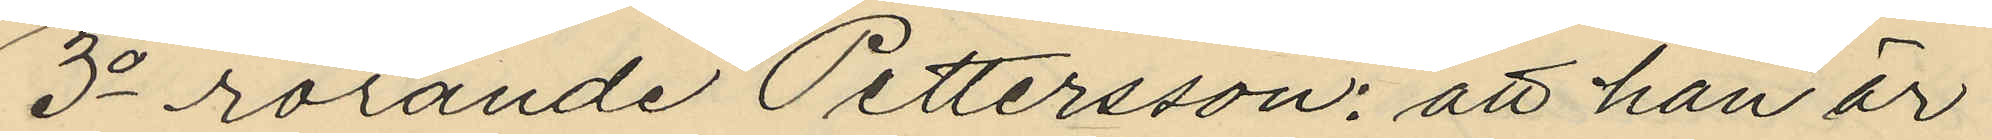3o rörande Pettersson: att han är
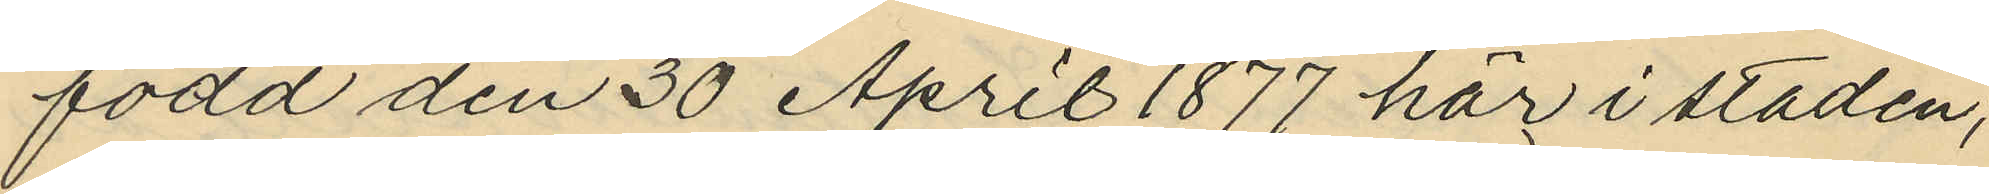född den 30 April 1877 här i staden;
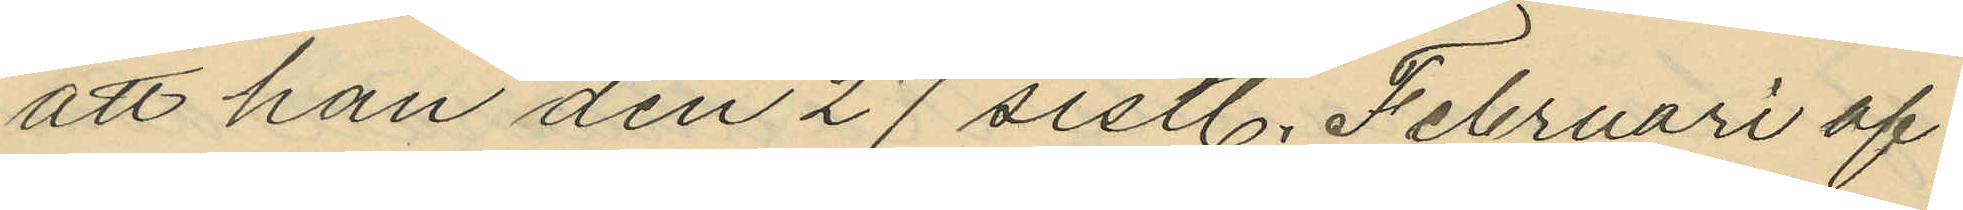att han den 27 sistl. Februari af
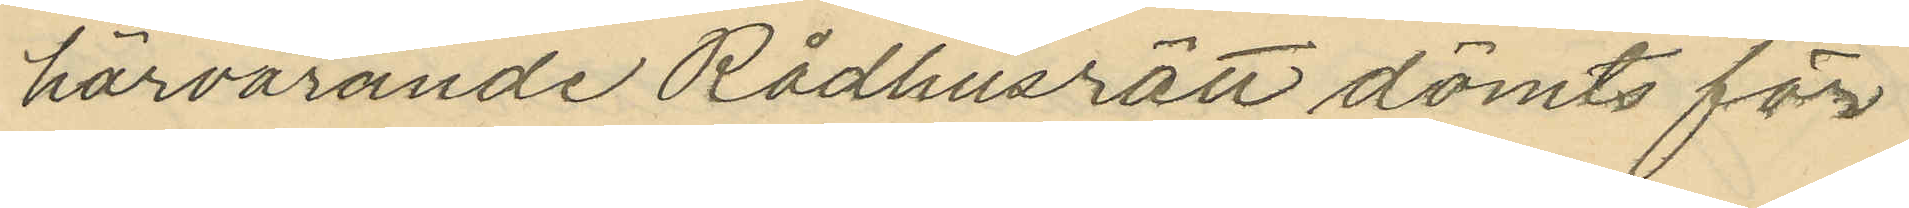härvarande Rådhusrätt dömts för
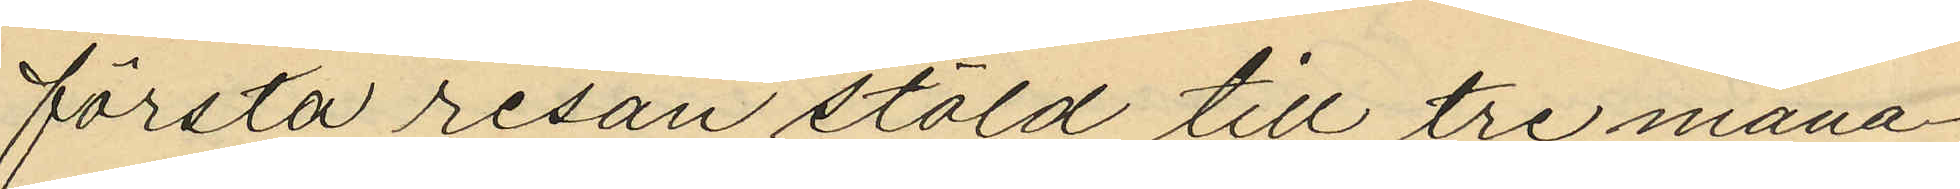första resan stöld till tre måna¬
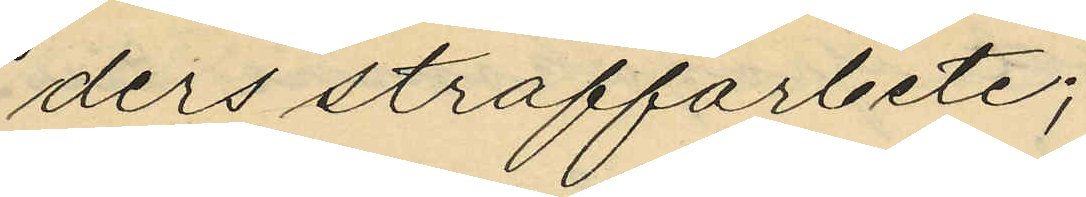ders straffarbete;
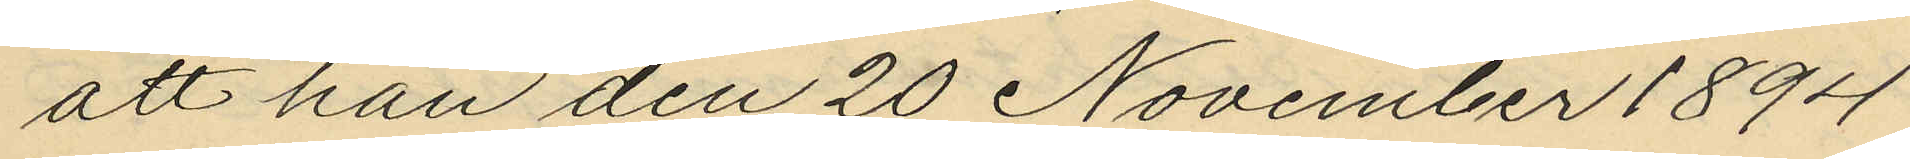att han den 20 November 1894
